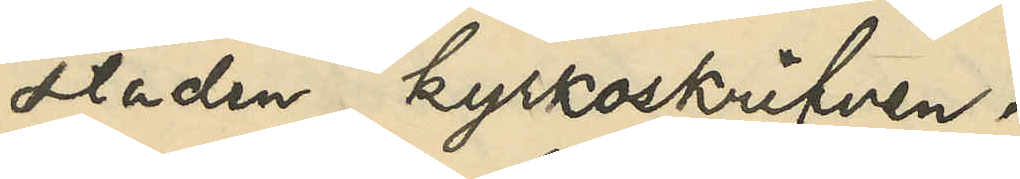staden kyrkoskrifven.
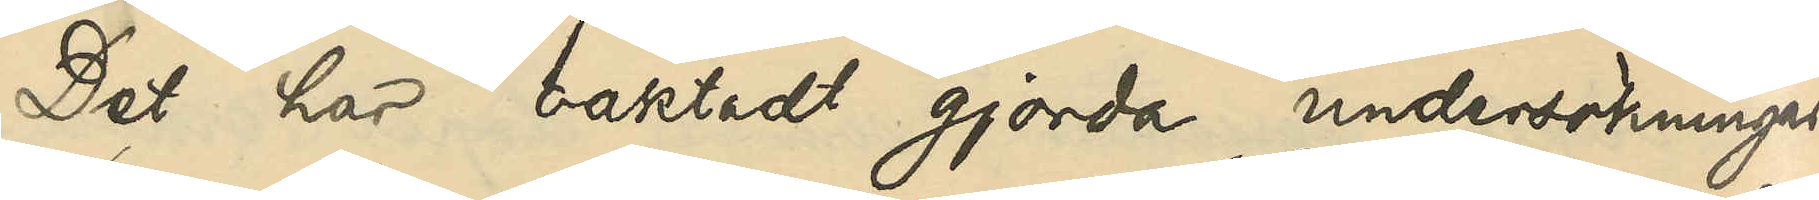Det har oaktadt gjorda undersökningar
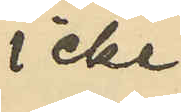icke
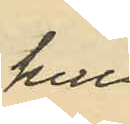heller
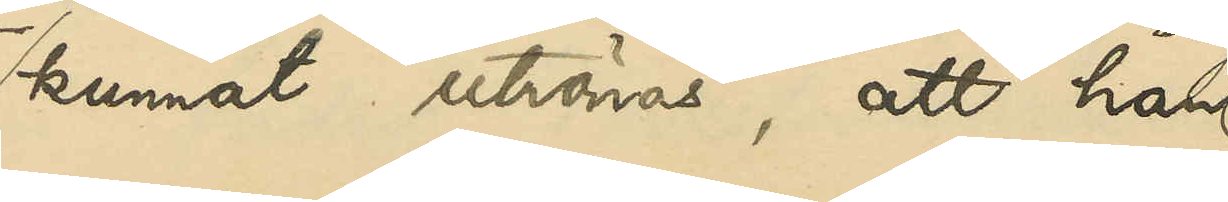kunnat utrönas, att han
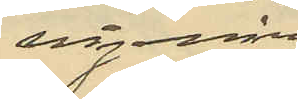någonsin
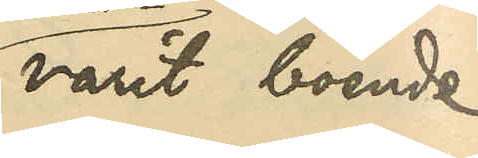varit boende
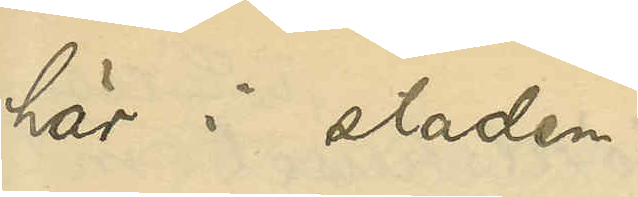här i staden.
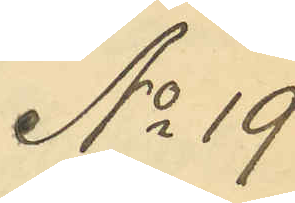No 19
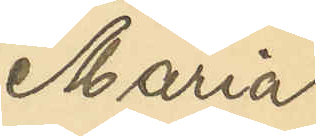Maria
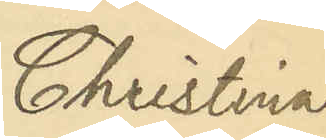Christina
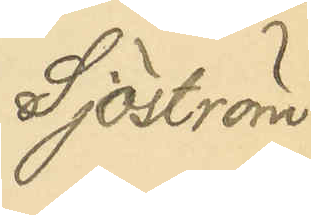Sjöström
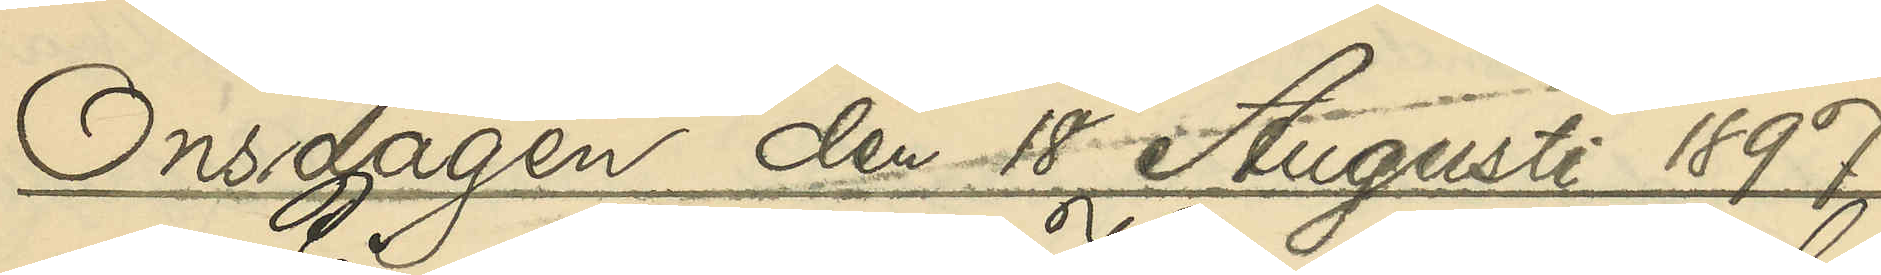Onsdagen den 18 Augusti 1897.
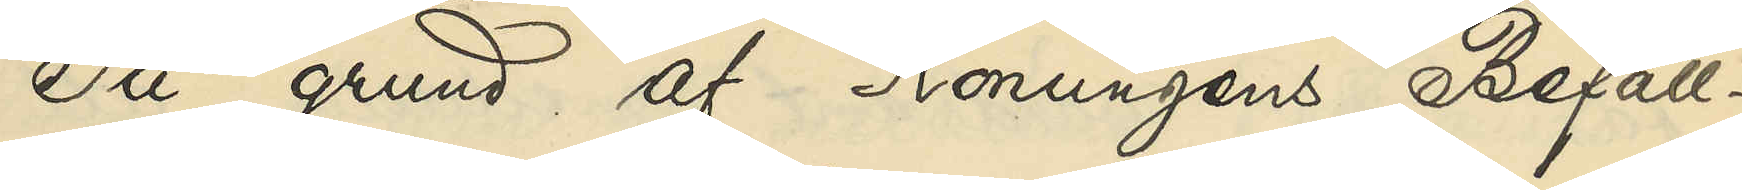På grund af Konungens Befall¬
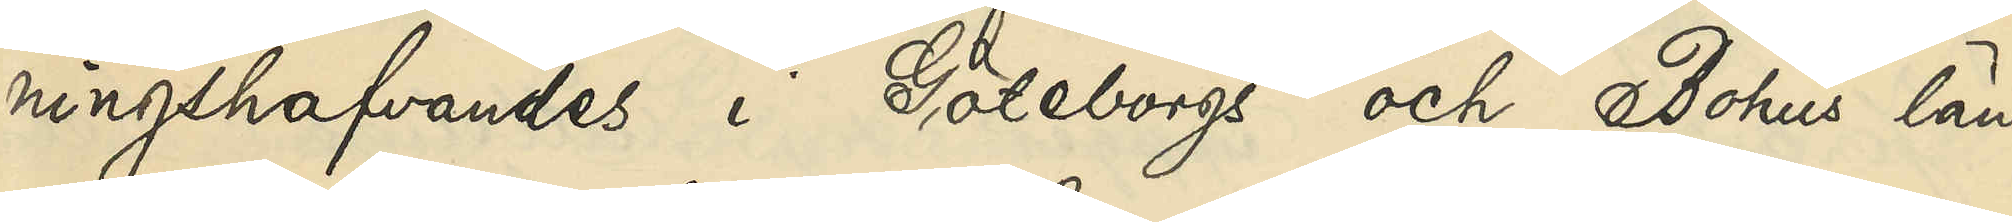ningshafvandes i Göteborgs och Bohus län
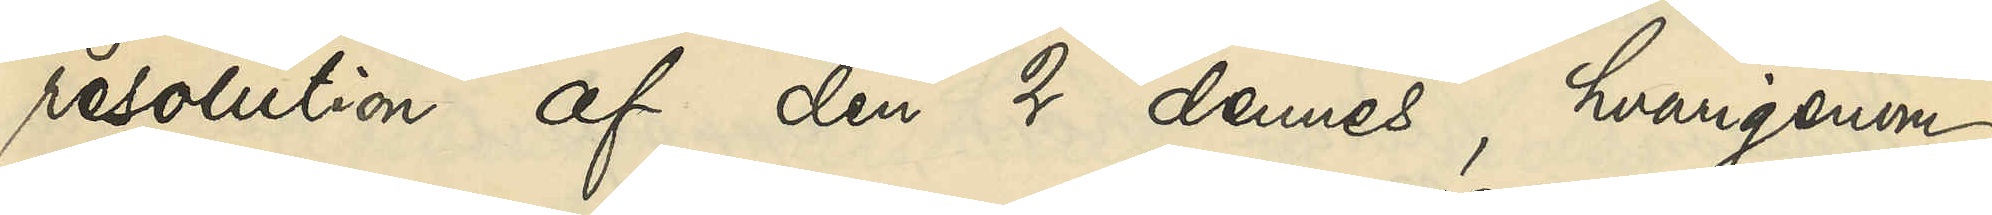resolution af den 2 dennes, hvarigenom
